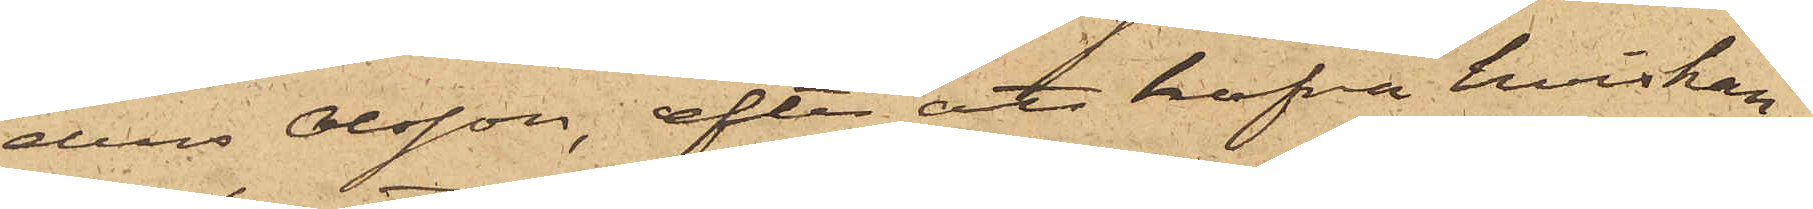ders Olsson, efter att hafva hviskan¬
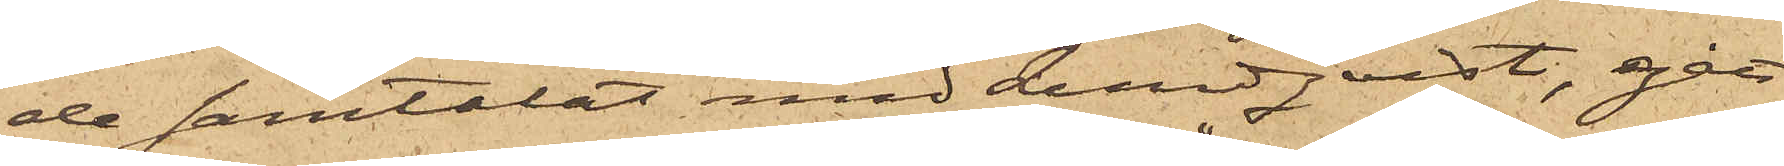de samtalat med Lundqvist, gått
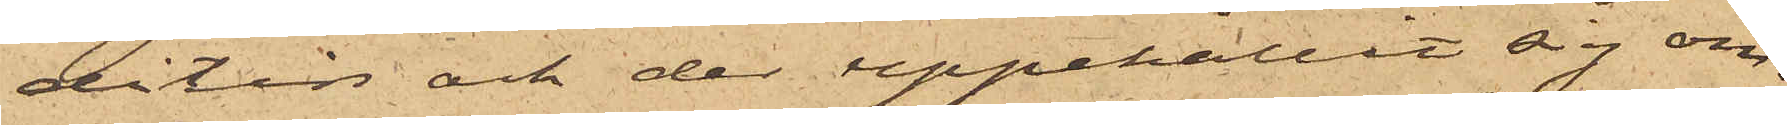ditin och der uppehållit sig om¬
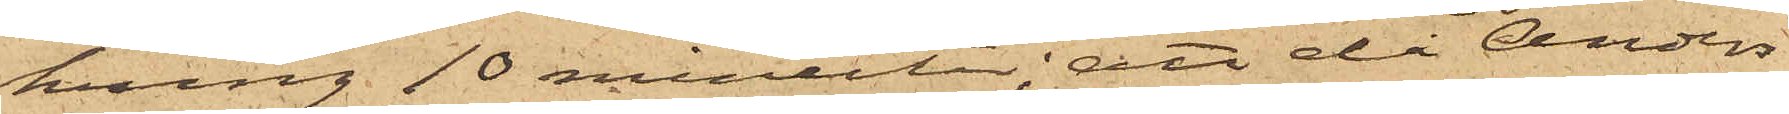kring 10 minuter; att då Anders
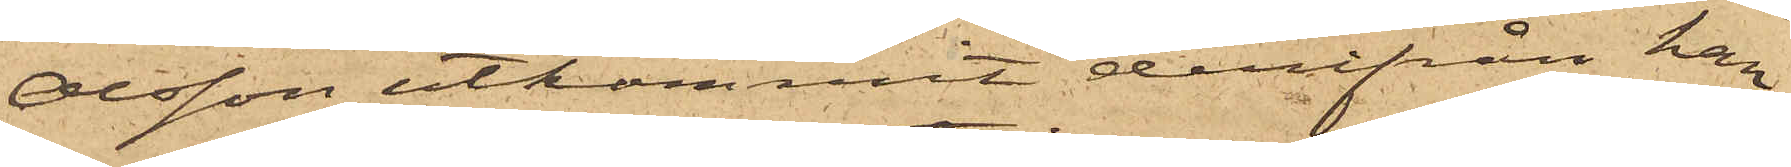Olsson utkommit derifrån han
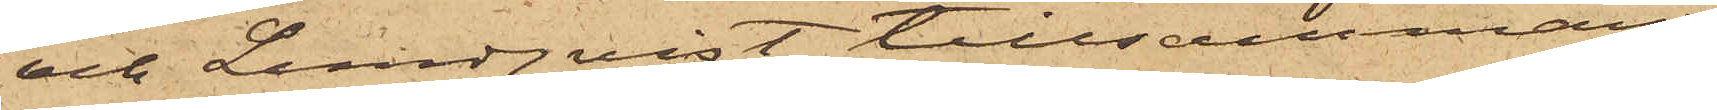och Lundqvist tillsammans
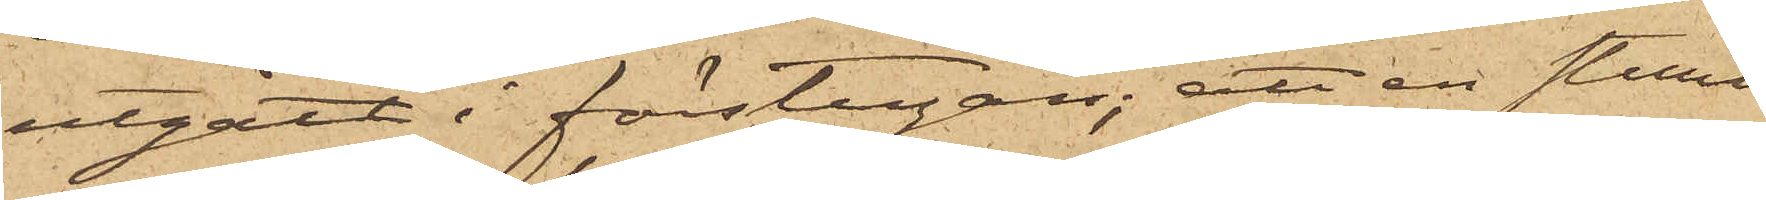utgått i förstugan; att en stund
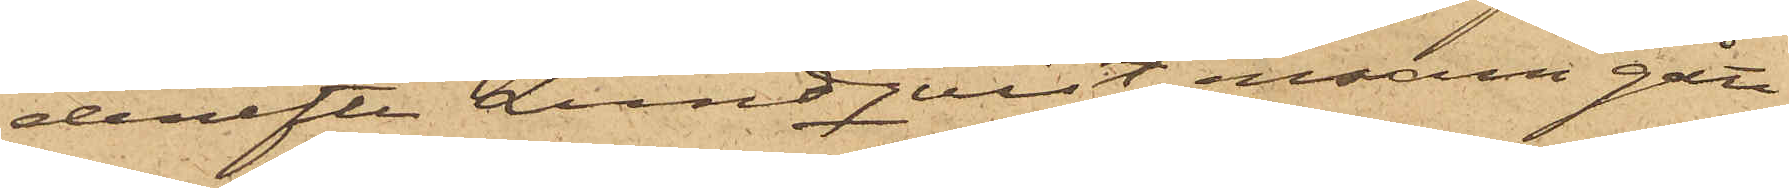derefter Lundqvist ensam gått
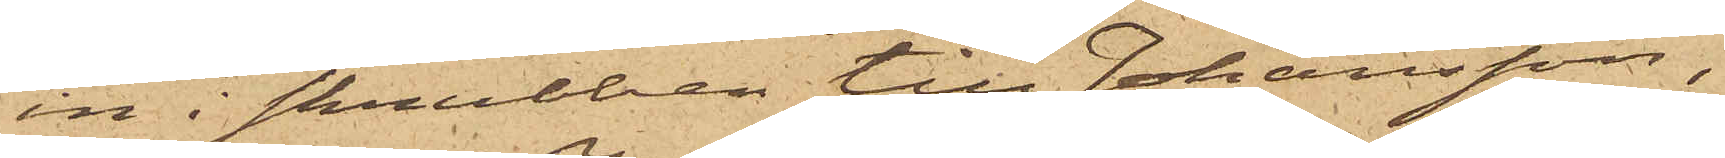in i skrubben till Johansson,
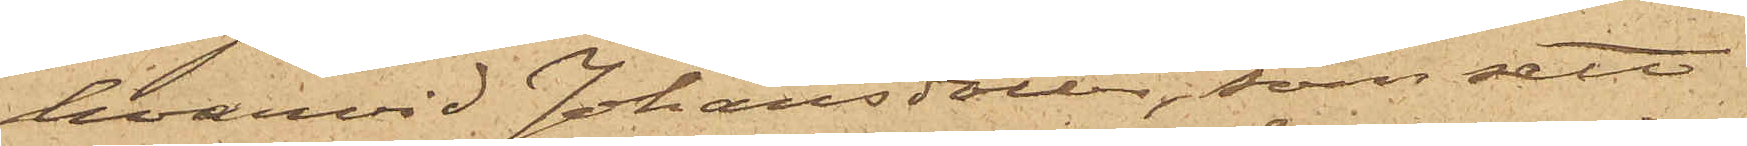hvarvid Johansdotter, som sett
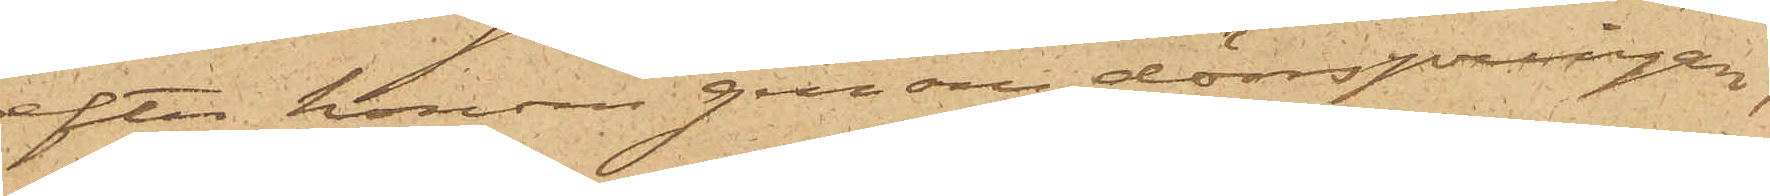efter honom genom dörrspringan,
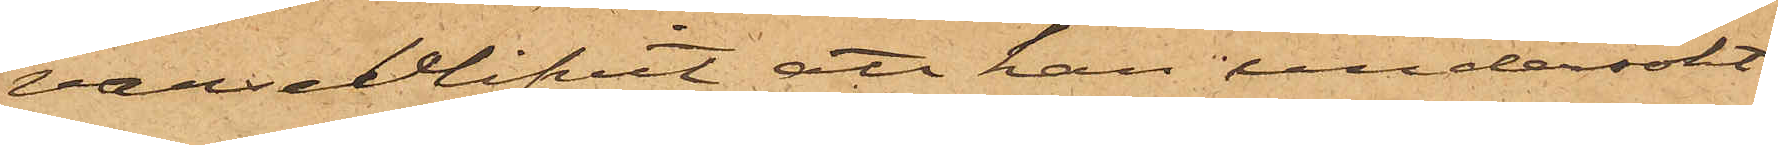varseblifvit att han undersökt
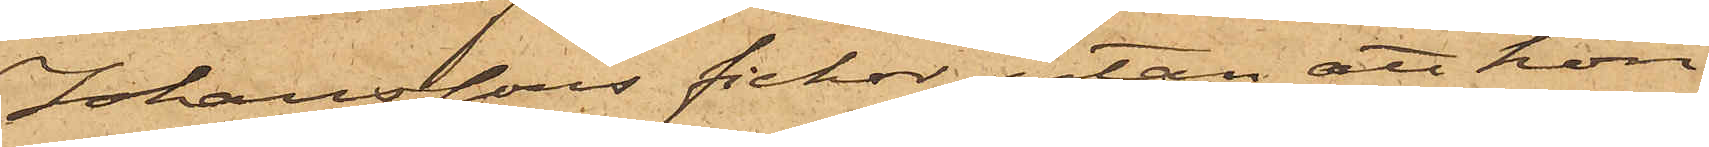Johanssons fickor, utan att hon
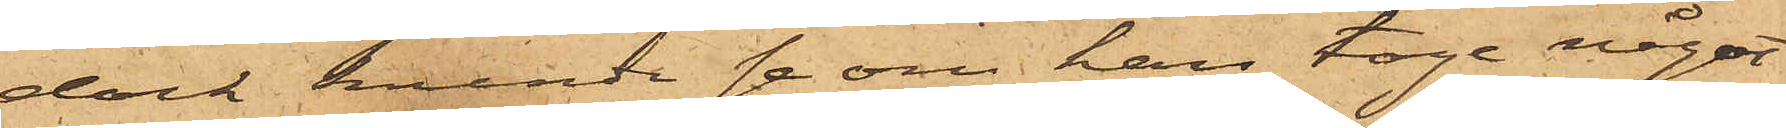dock kunde se om han toge något
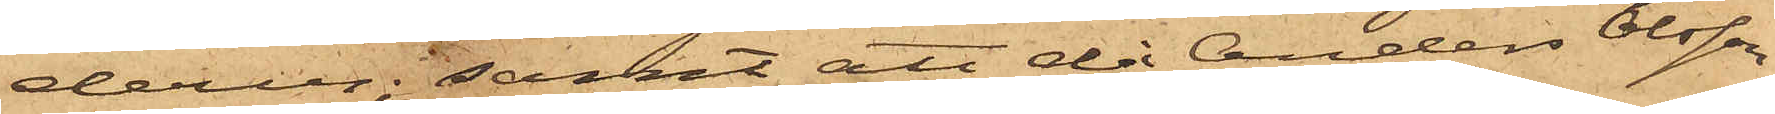derur; samt att då Anders Olsson
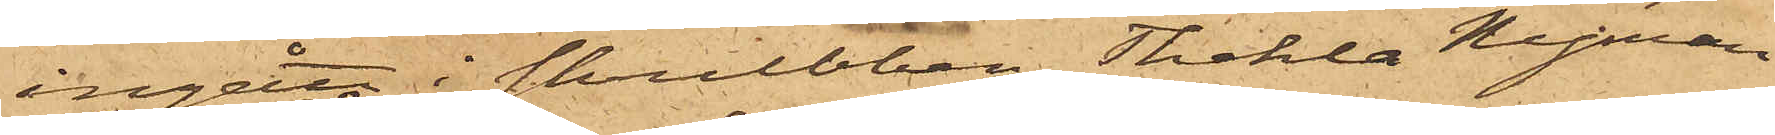ingått i skrubben Thekla Nyman
